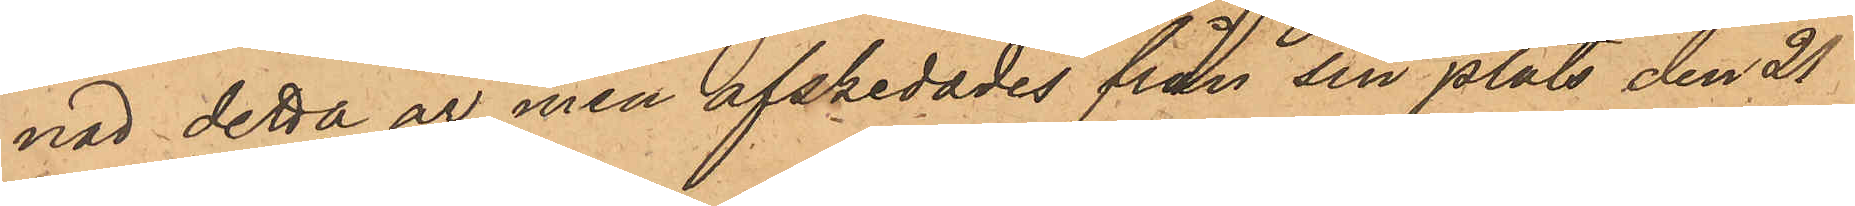nad detta år men afskedades från sin plats den 21
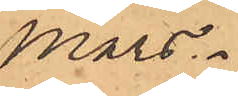Mars.
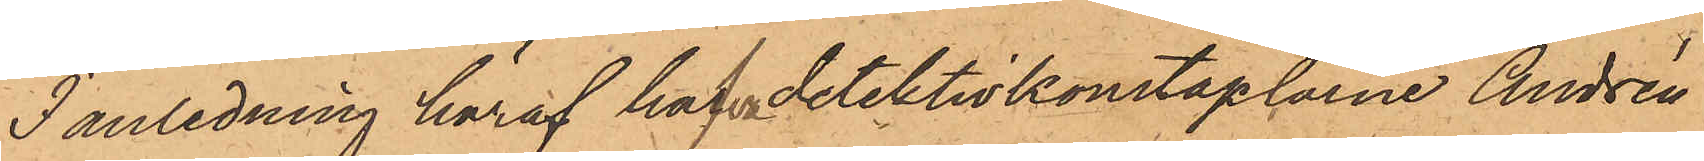I anledning häraf haf detektivkonstaplarne Andrén
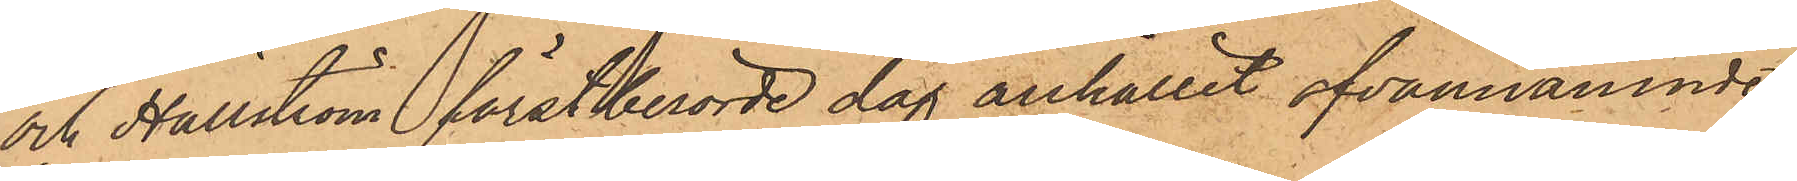och Hällström förstberörde dag anhållit ofvannämnde
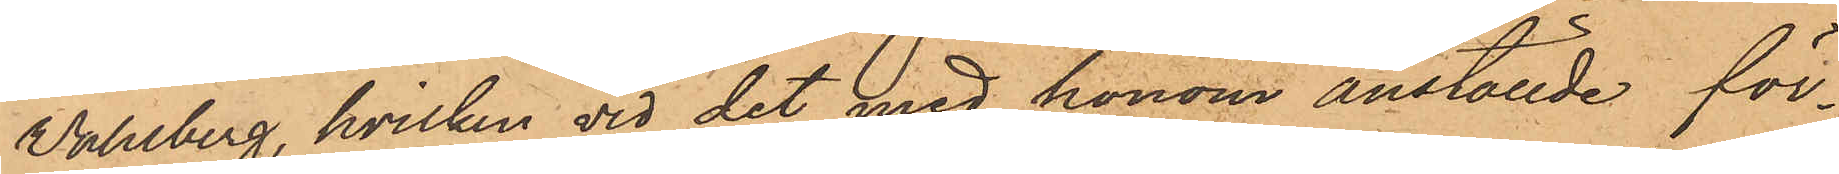Wahlberg, hvilken vid det med honom anställde för¬
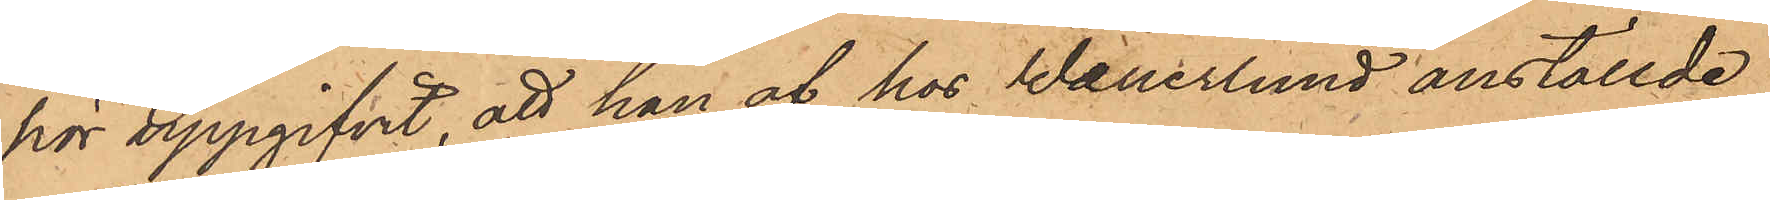hör uppgifvit, att han af hos Wanerlund anställde
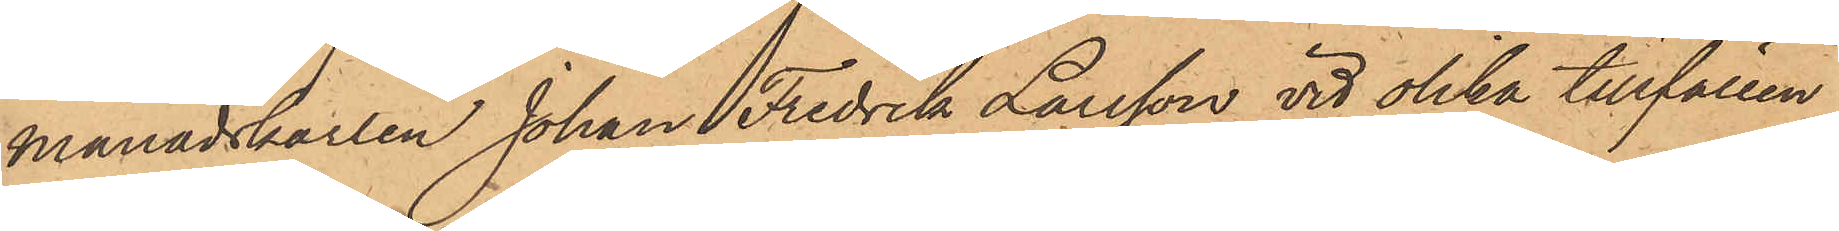månadskarlen Johan Fredrik Larsson vid olika tillfällen
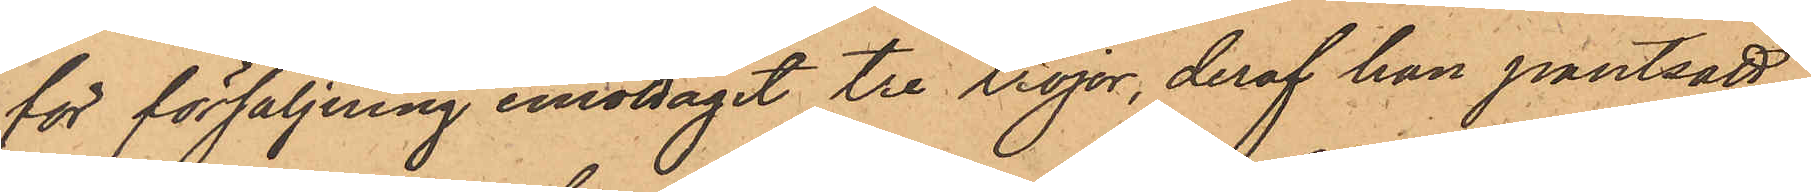för försäljning emottagit tre tröjor, deraf han pantsatt
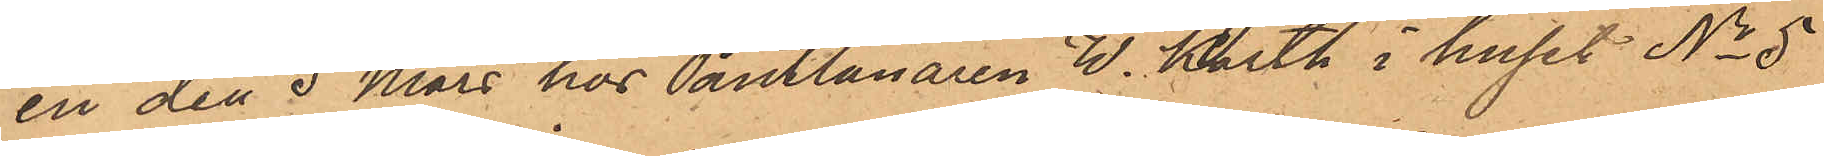en den 5 Mars hos Pantlånaren W. Karth i huset No 5
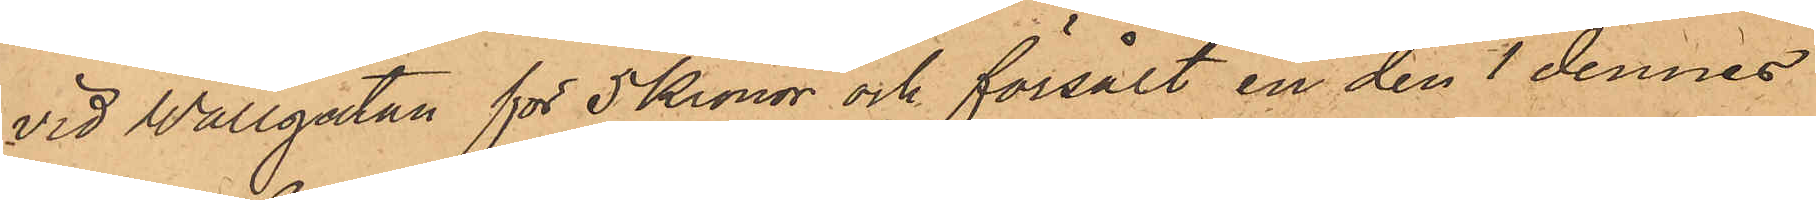vid Wallgatan för 5 Kronor och försålt en den 1 dennes
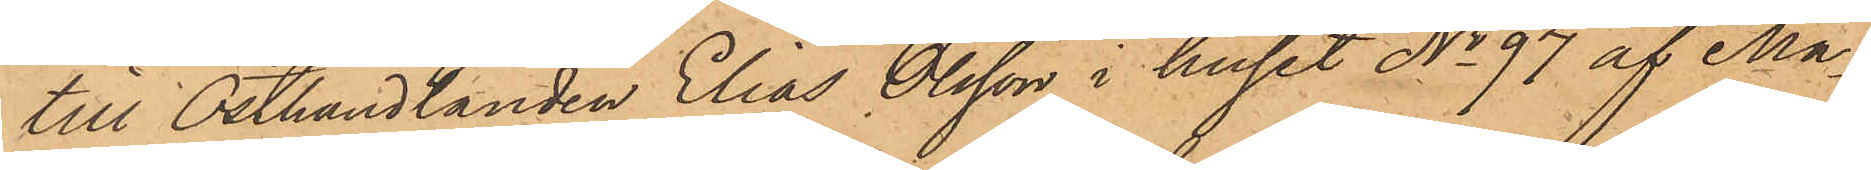till Osthandlanden Elias Olsson i huset No 97 af Ma¬
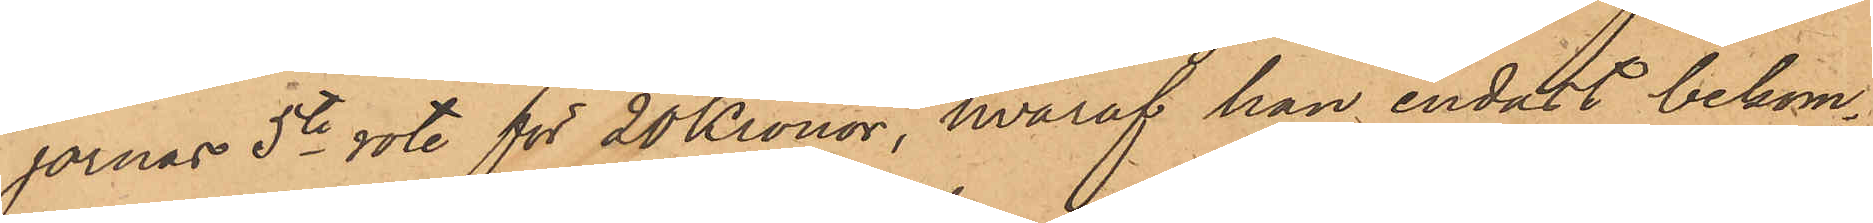jornas 5te rote för 20 Kronor, hvaraf han endast bekom¬
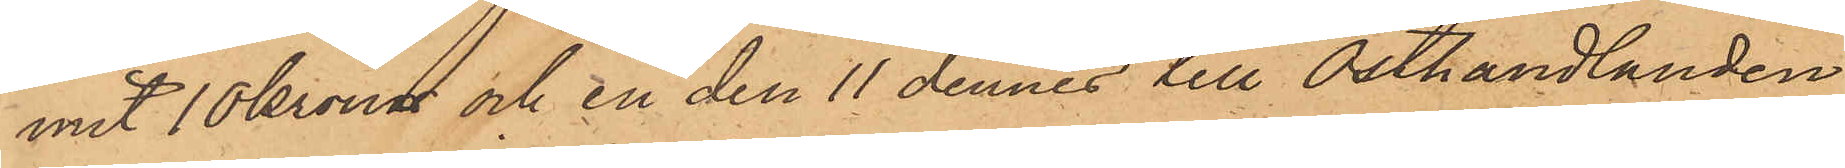mit 10 kronor och en den 11 dennes till Osthandlanden
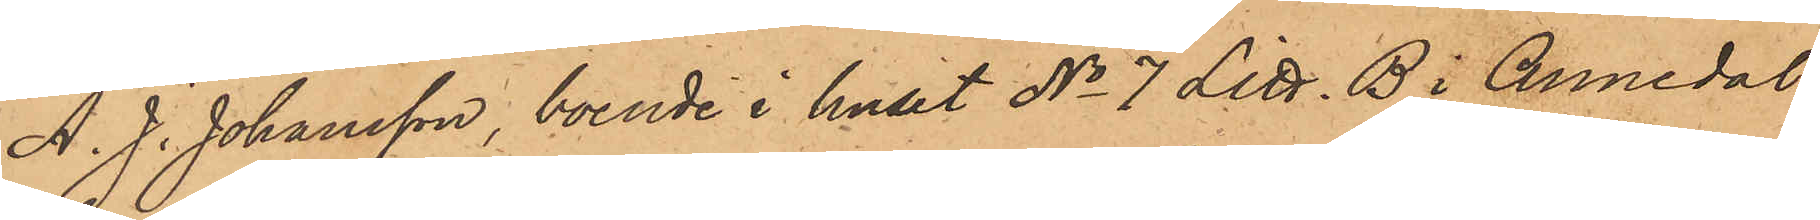A. J. Johansson, boende i huset No 7 Litt. B i Annedal
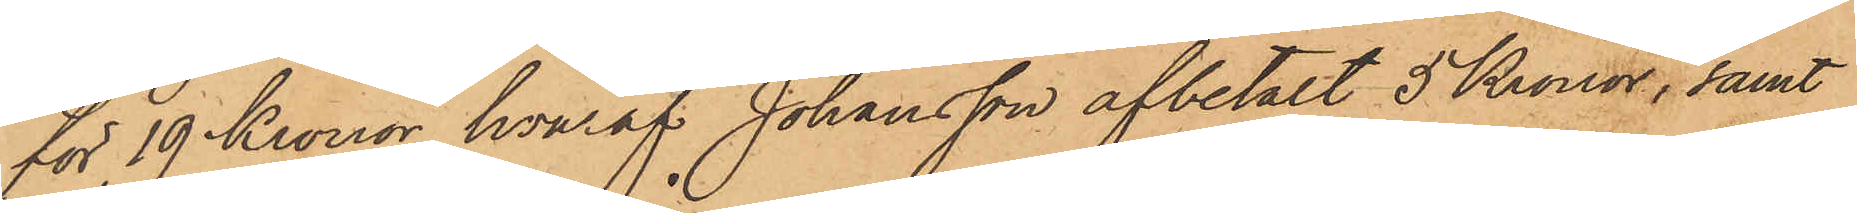för 19 Kronor, hvaraf Johansson afbetalt 5 Kronor, samt
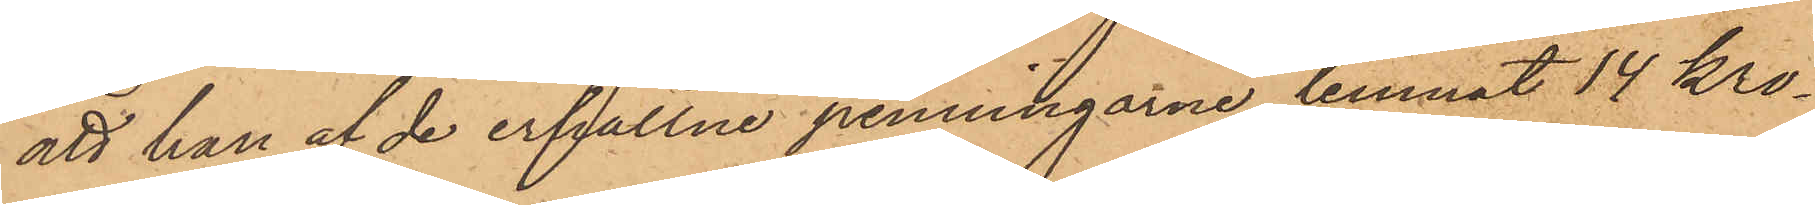att han af de erhållne penningarne lemnat 14 kro¬
